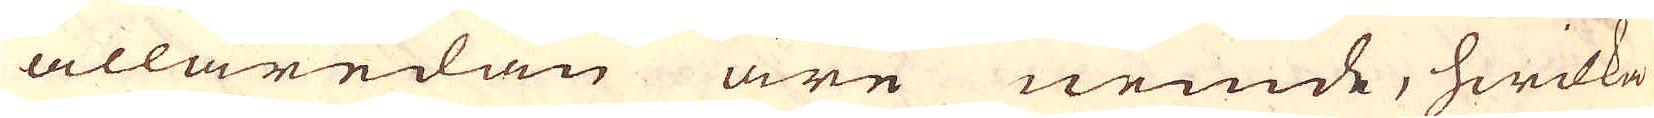allaredan äre nemde, hwilka
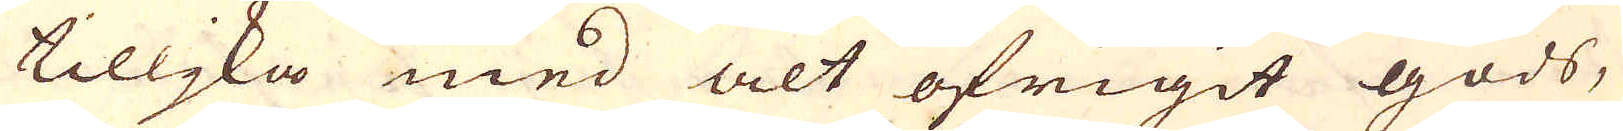tilljka med alt öfrigit gods,
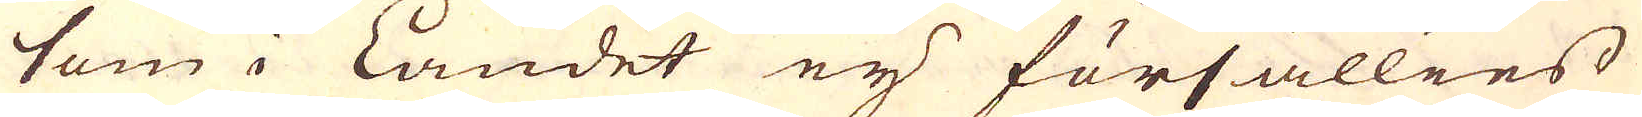som i Landet eij försällies
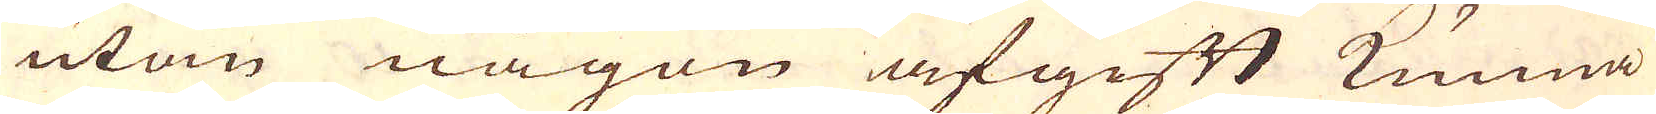utan någon afgift kunna
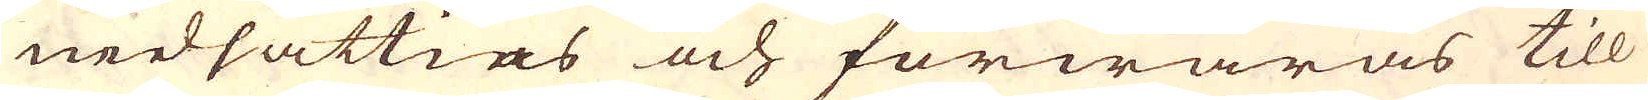nedsättias och förwaras till
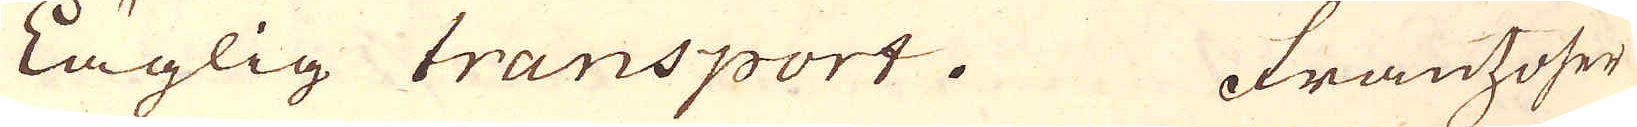Läglig transport. Frantzoser
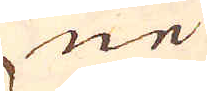ne
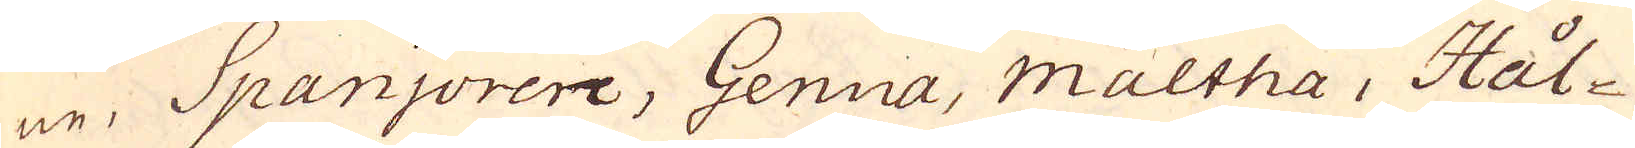ne, Spanjorere, Genua, maltha, Hål-
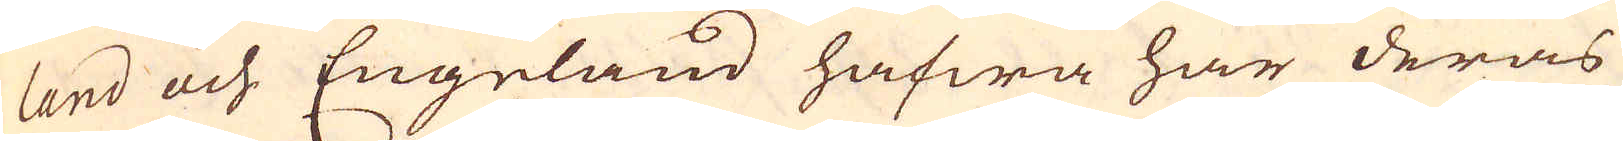land och Engeland hafwa här deras
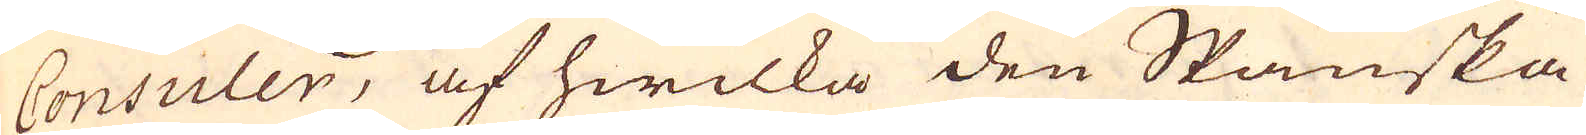Consuler, af hwilka den Spanska
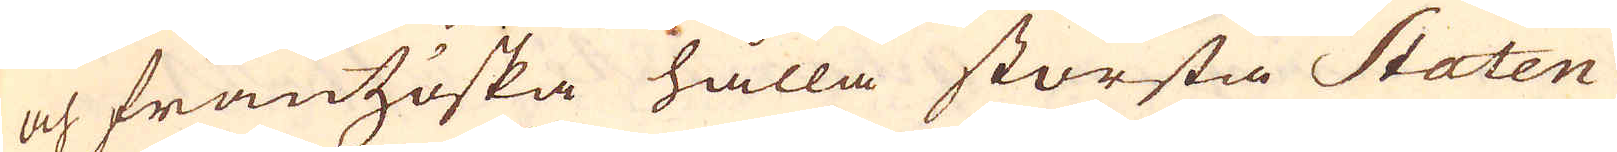och frantzöska hålla största Staten
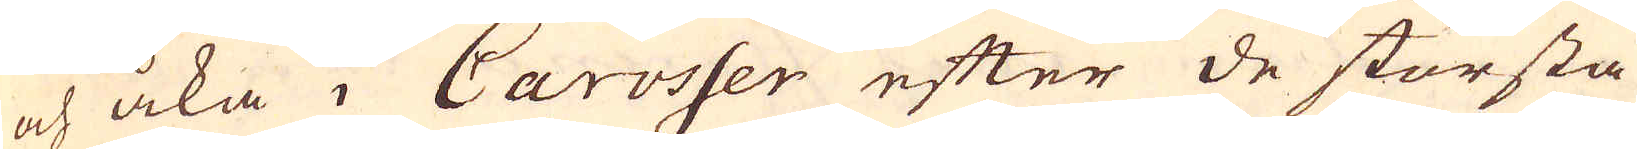och åka i Carosser efter de största
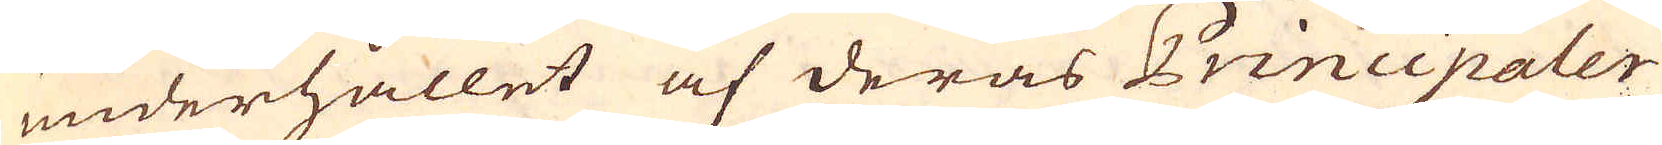underhållet af deras Principaler
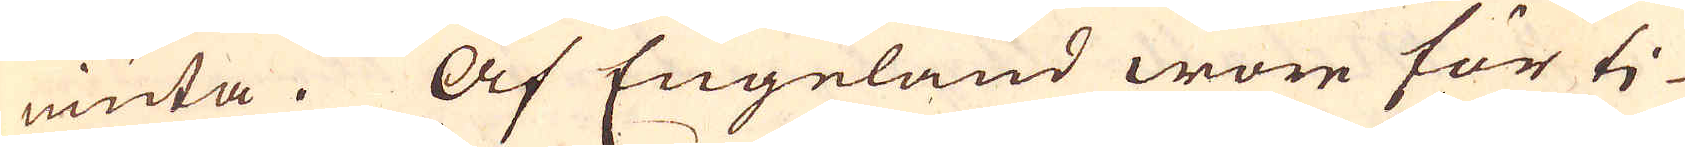niuta. Af Engeland wore för ti-
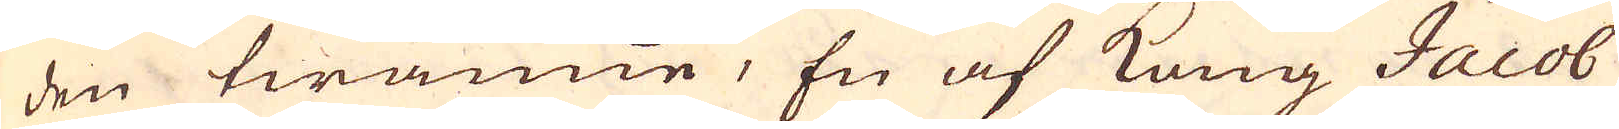den twänne, En af Kong Jacob
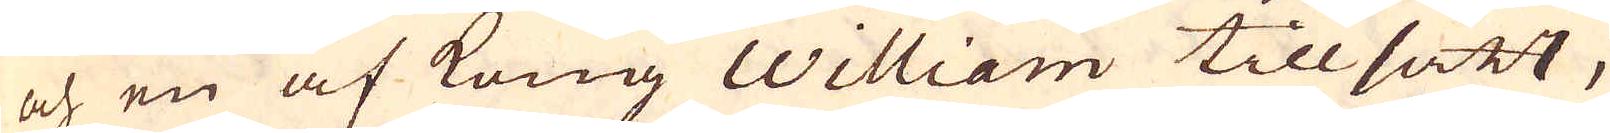och en af Kong William tillsatt,
